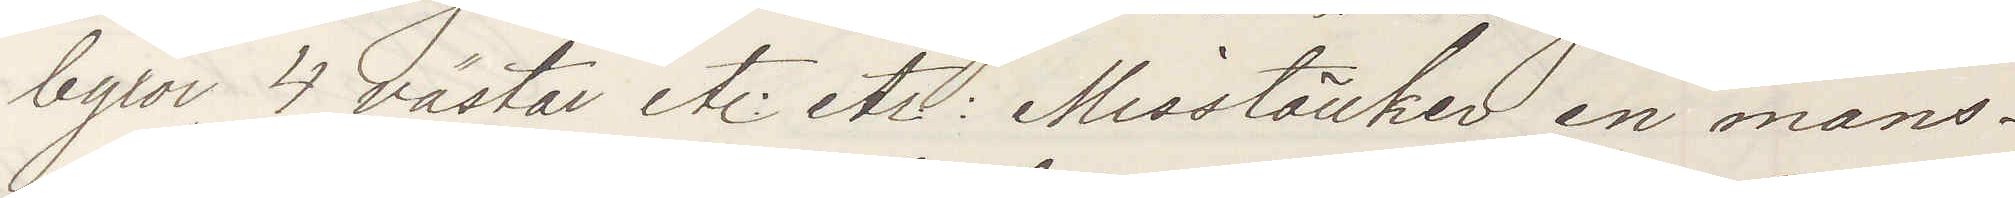byxor 4 västar etc etc Misstänker en mans¬
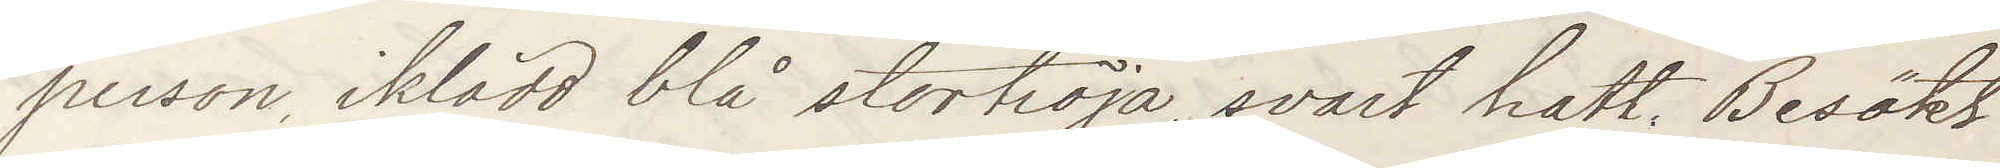person, iklädd blå stortröja, svart hatt. Besökt
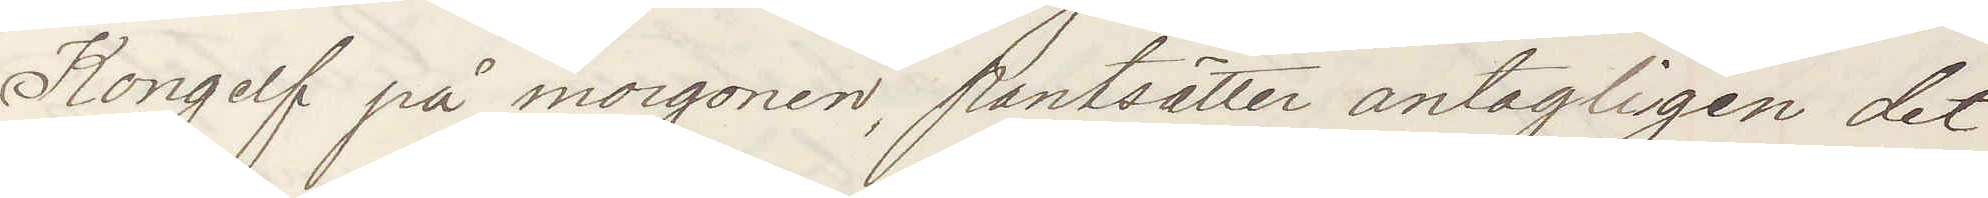Kongelf på morgonen, pantsätter antagligen det
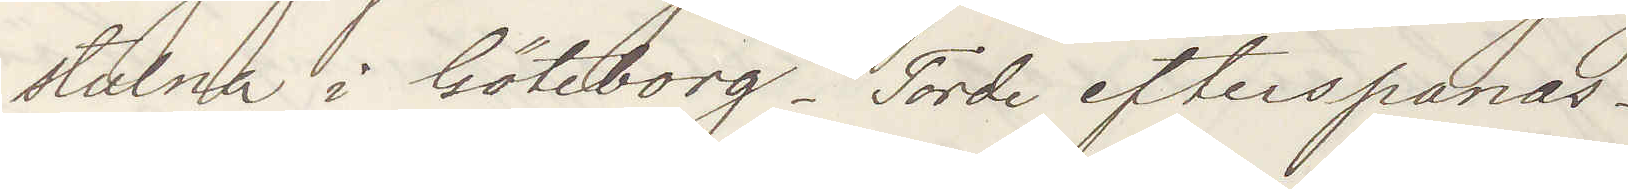stulna i Göteborg. Torde efterspanas.
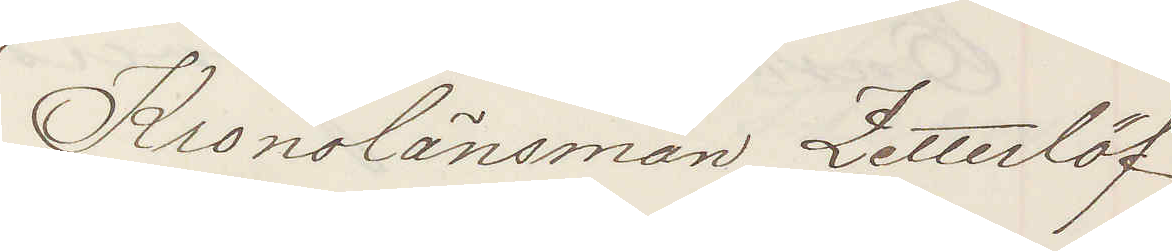Kronolänsman Zetterlöf
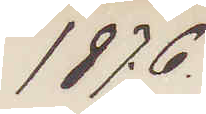1876,
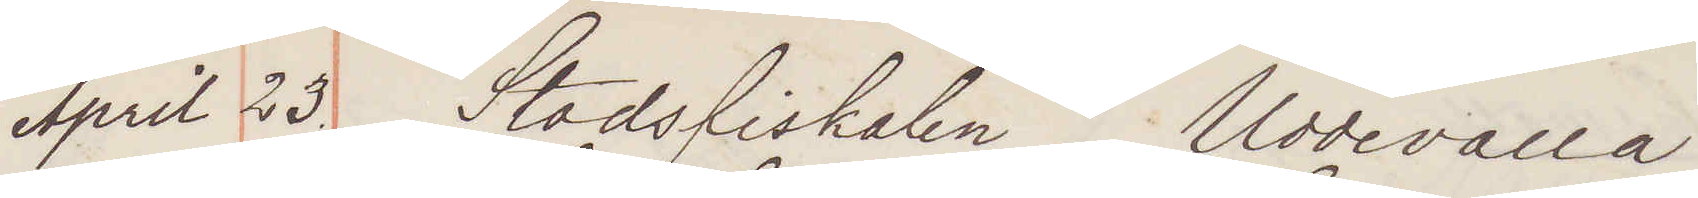April 23. Stadsfiskalen Uddevalla
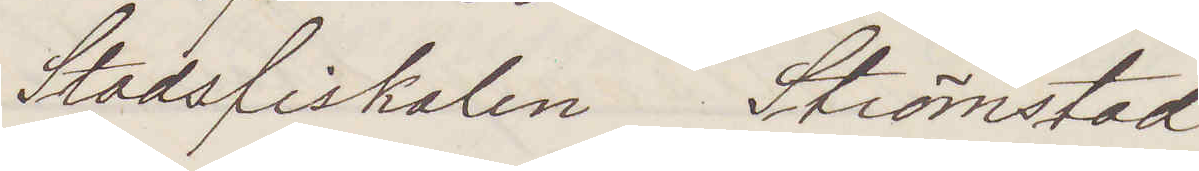Stadsfiskalen Strömstad
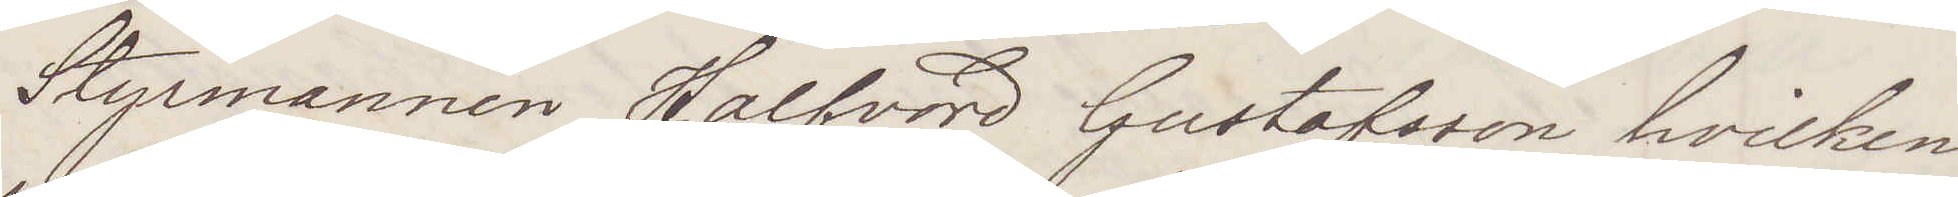Styrmannen Halfvord Gustafsson hvilken
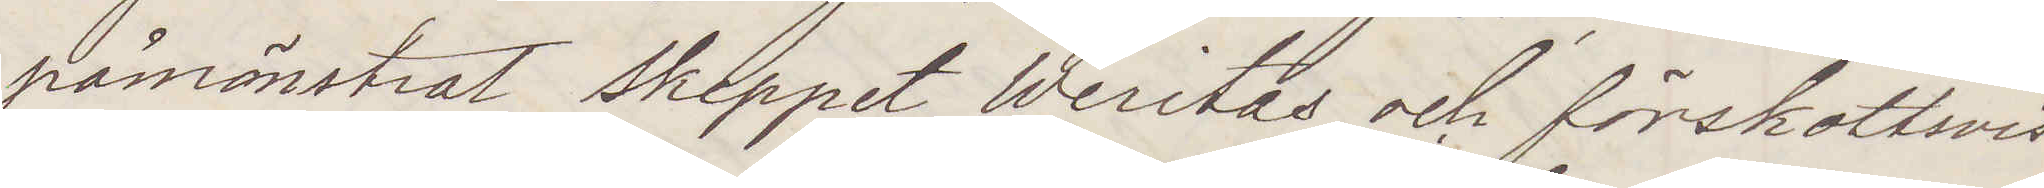påmönstrat skeppet Weritas och förskottsvis
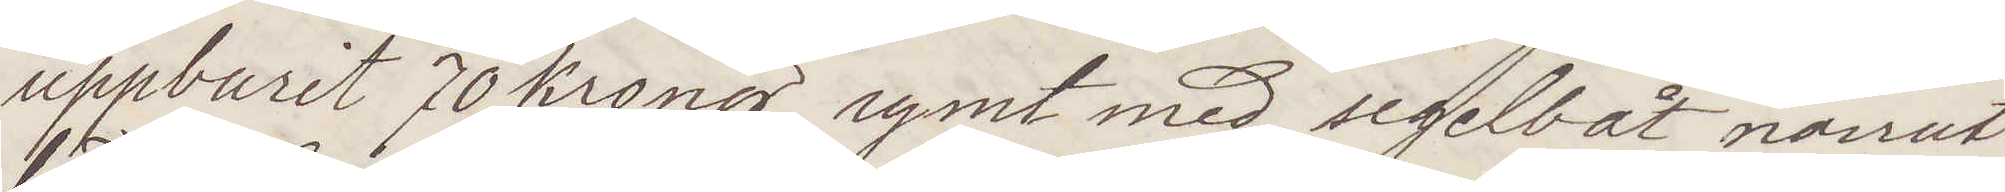uppburit 70 Kronor, rymt med segelbåt norrut
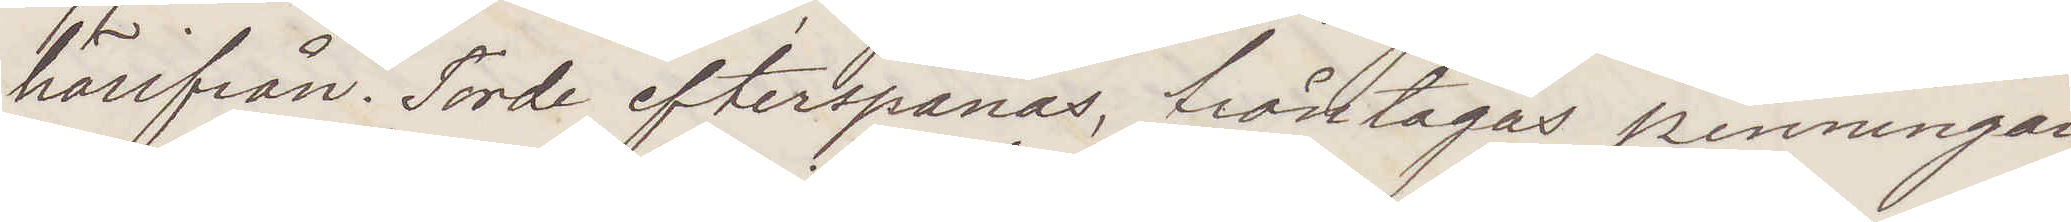härifrån. Torde efterspanas, fråntagas penningar¬
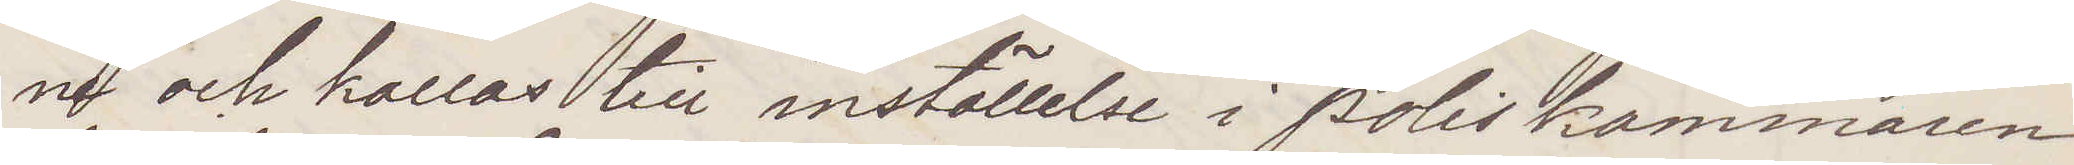ne och kallas till inställelse i Poliskammaren
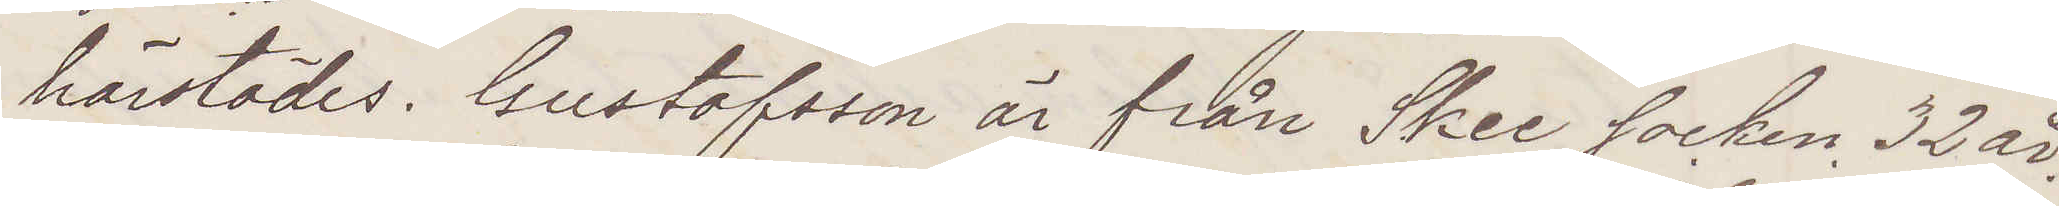härstädes. Gustafsson är från Skee socken, 32 år,
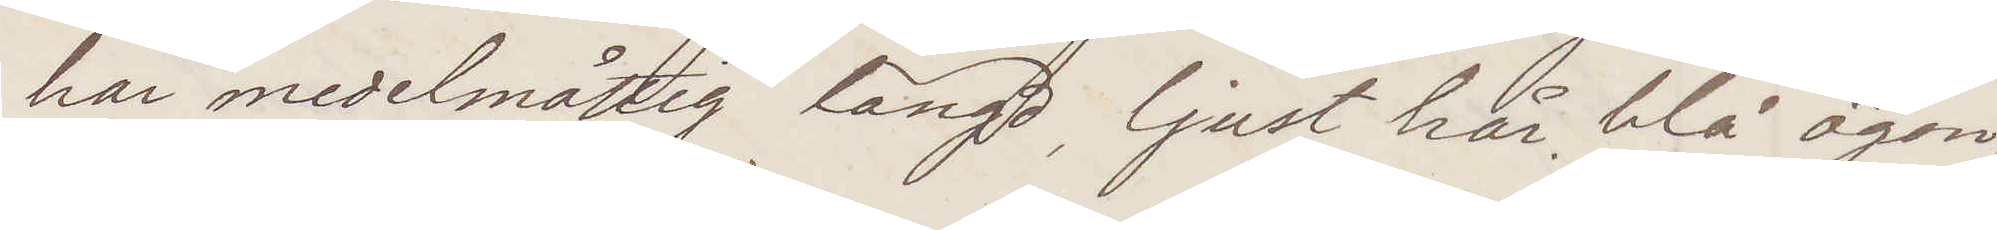har medelmåttig längd, ljust hår, blå ögon,
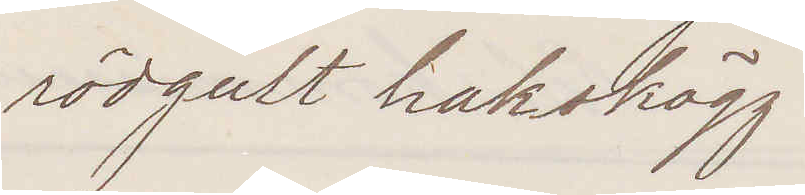rödgult hakskägg.
